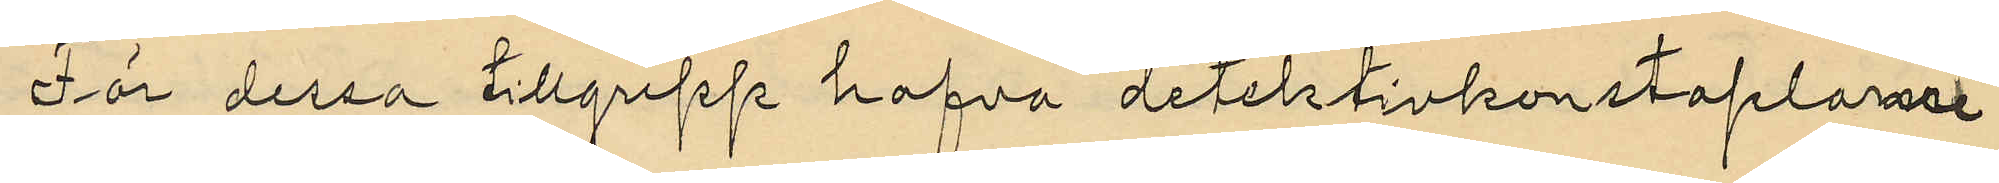För dessa tillgrepp hafva detektivkonstaplarne
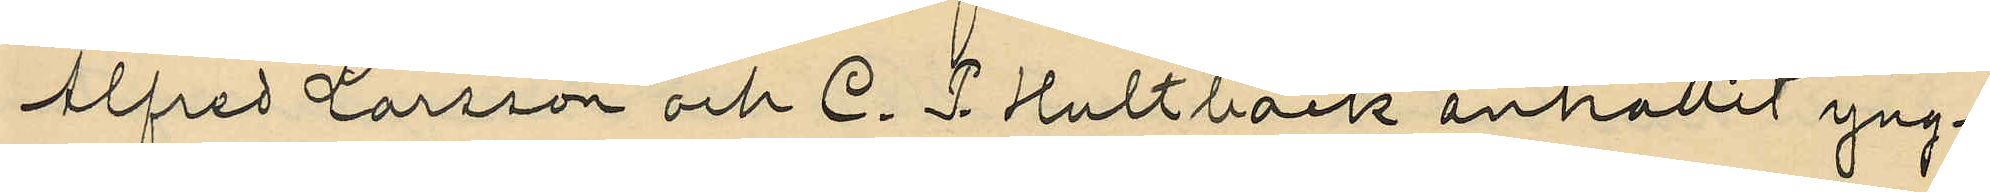Alfred Larsson och C. P. Hultbäck anhållit yng¬
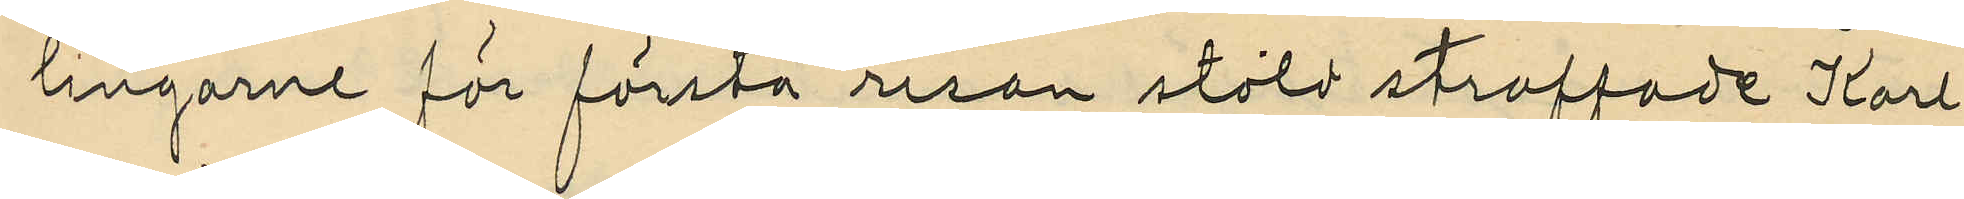lingarne för första resan stöld straffade Karl
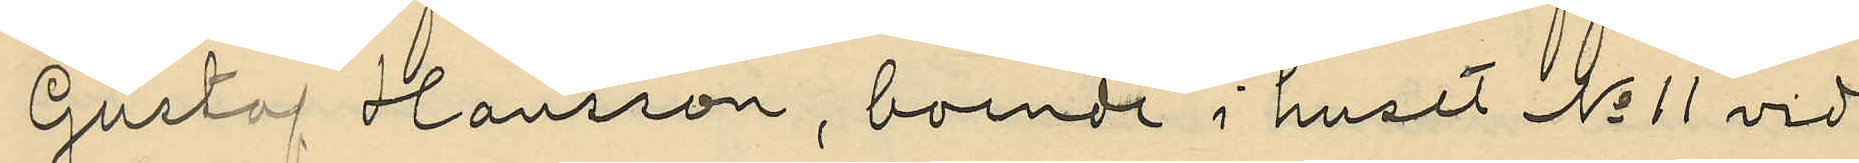Gustaf Hansson, boende i huset No 11 vid
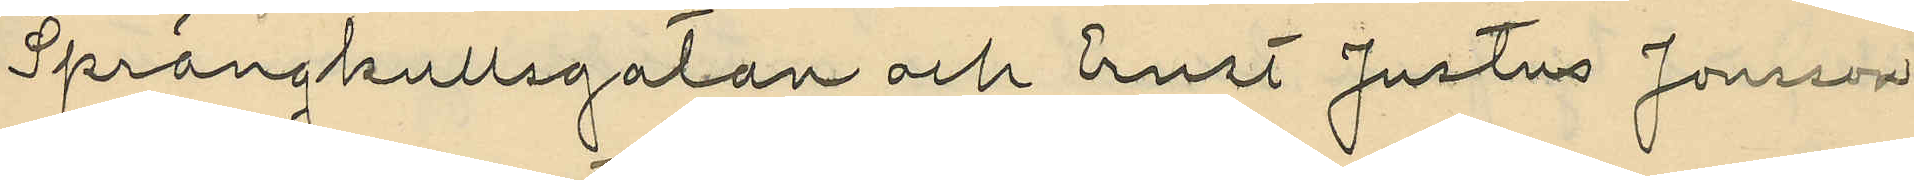Sprängkullsgatan och Ernst Justus Jonsson
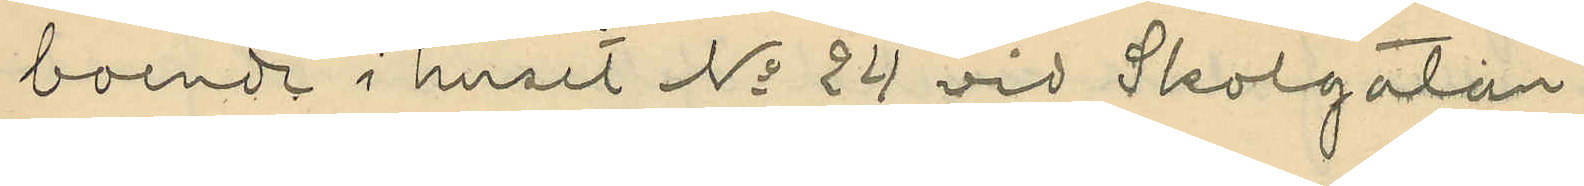boende i huset No 24 vid Skolgatan.
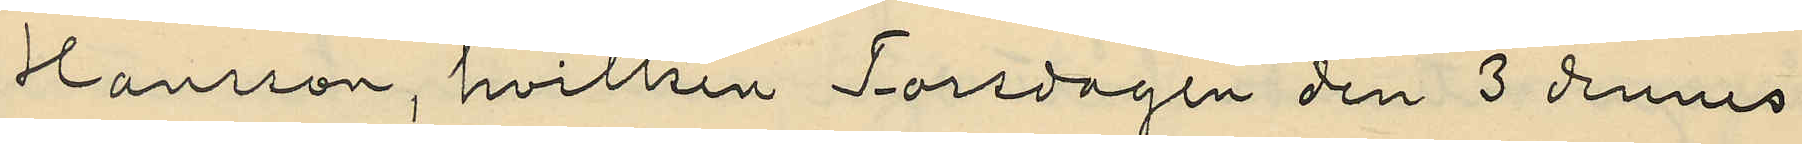Hansson, hvilken Torsdagen den 3 dennes
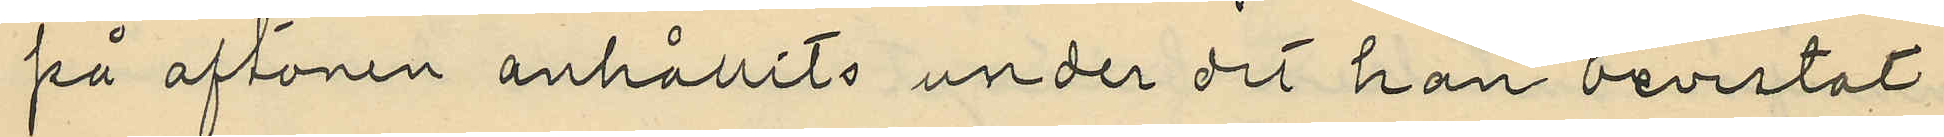på aftonen anhållits under det han bevistat
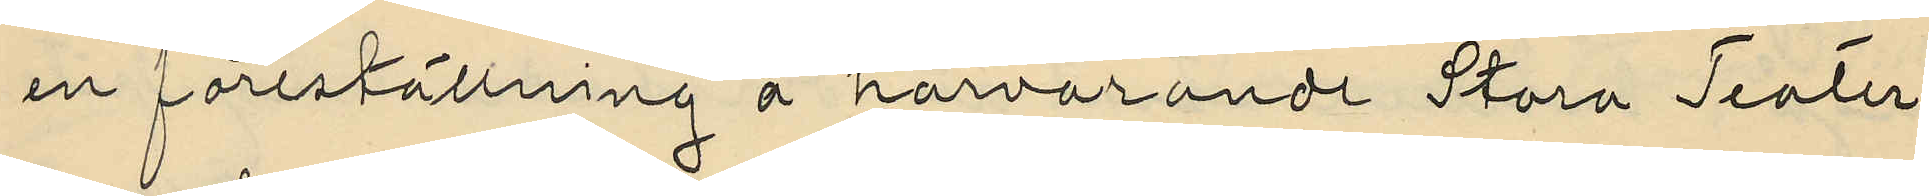en föreställning å härvarande Stora Teater
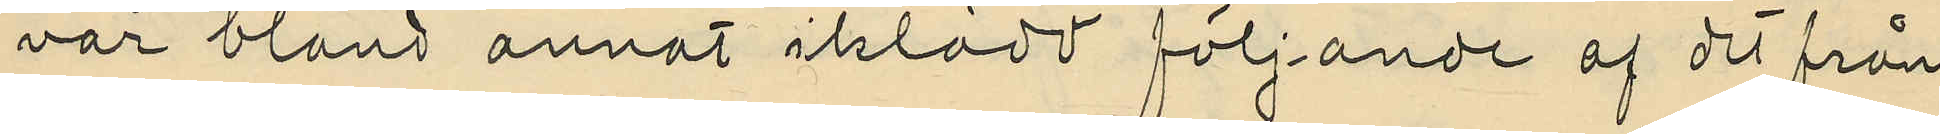var bland annat iklädd följande af det från
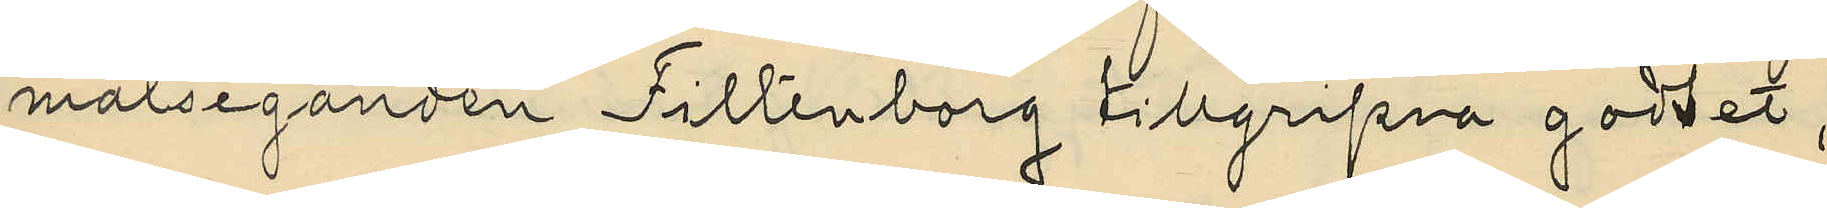målseganden Filtenborg tillgripna godset,
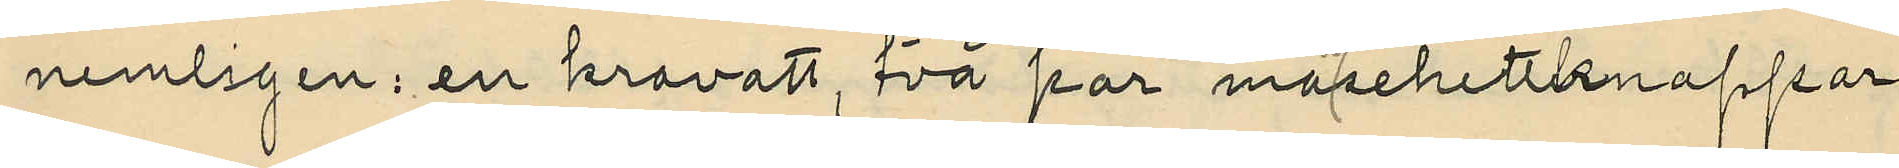nemligen: en kravatt, två par manschettknappar
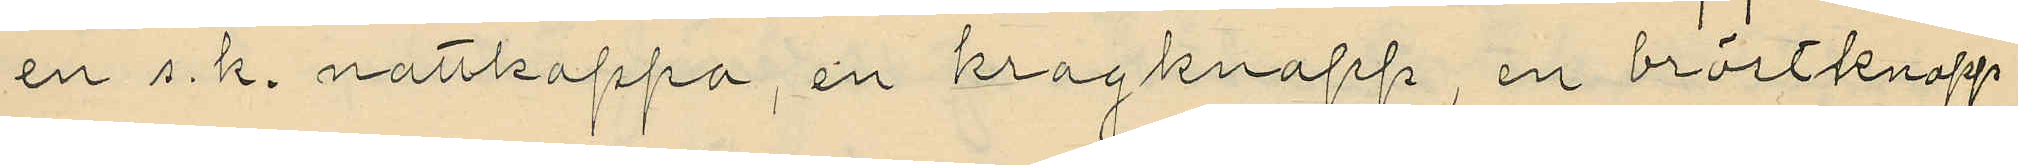en s. k. nattkappa, en kragknapp, en bröstknapp
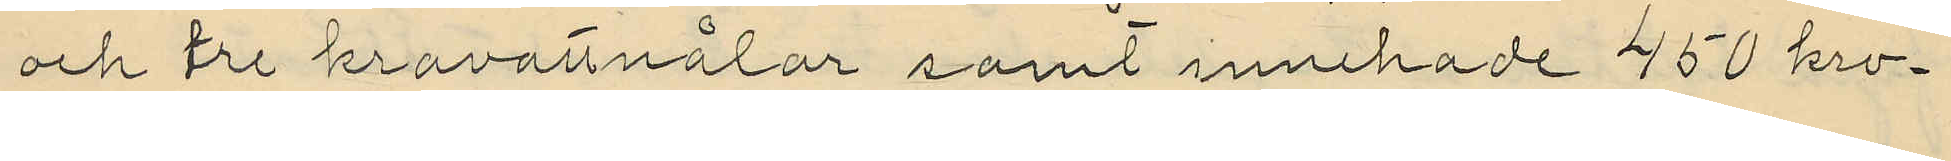och tre kravattnålar samt innehade 450 kro¬
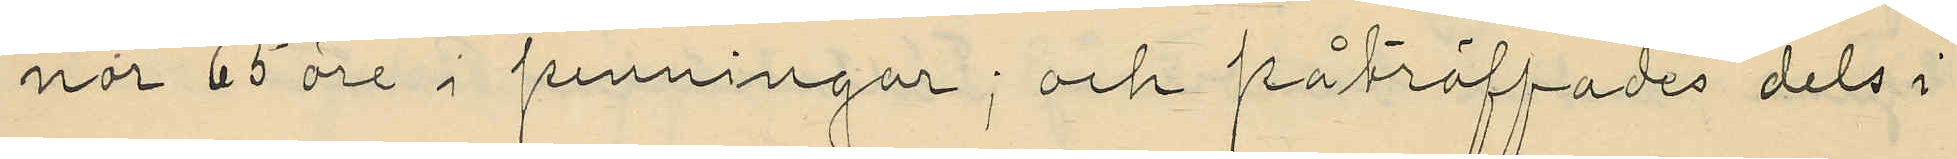nor 65 öre i penningar; och påträffades dels i
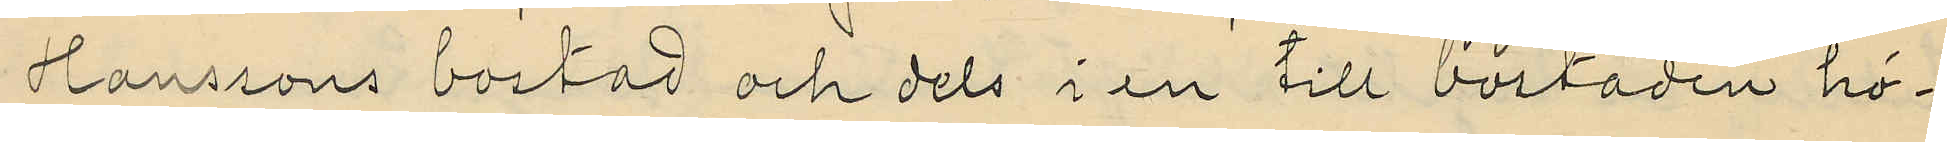Hanssons bostad och dels i en till bostaden hö¬
